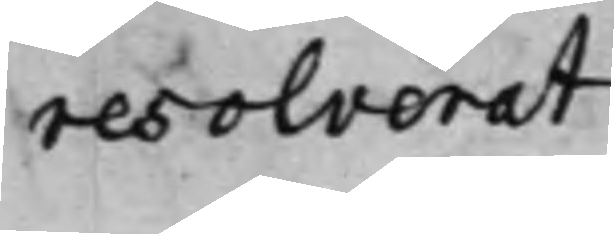resolverat
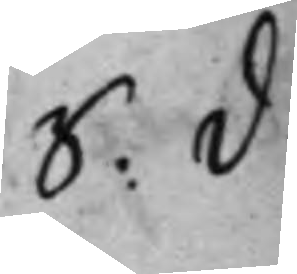S: D:
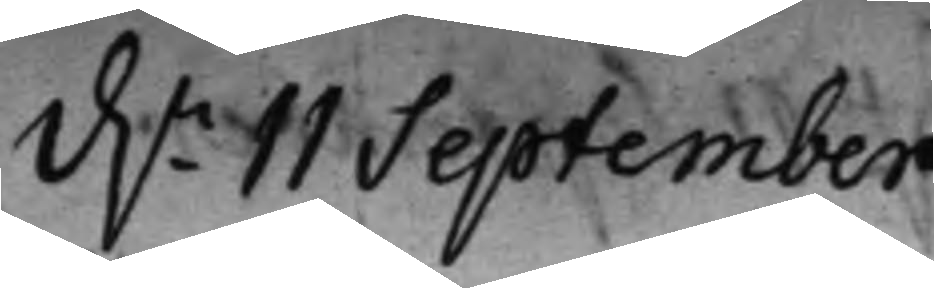d.n 11 September
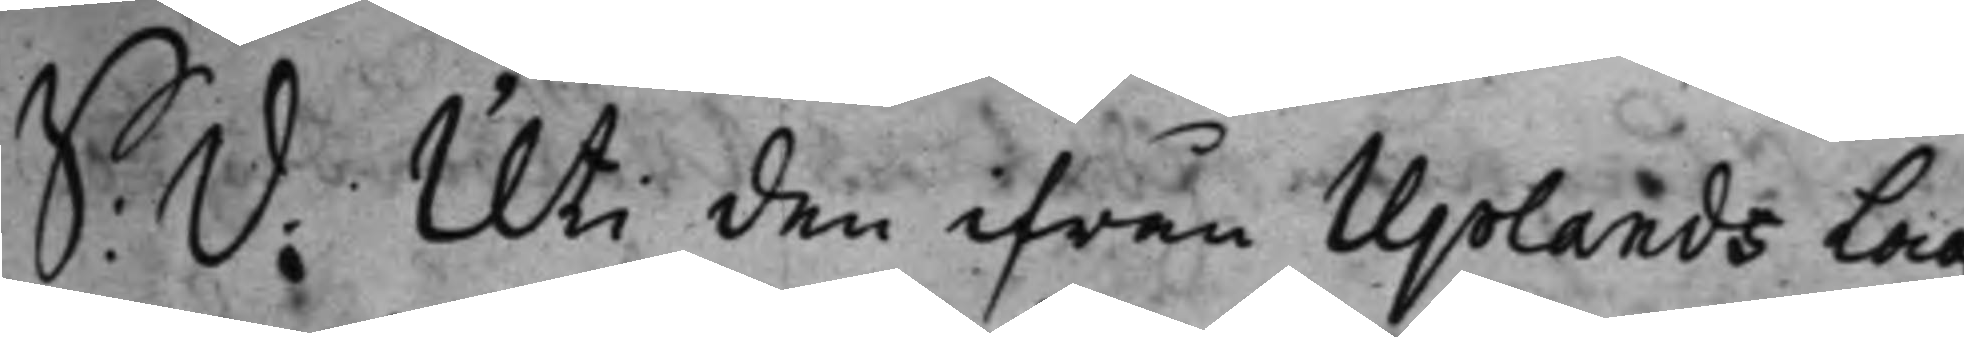S: D: Uti den ifrån Uplands Lag¬
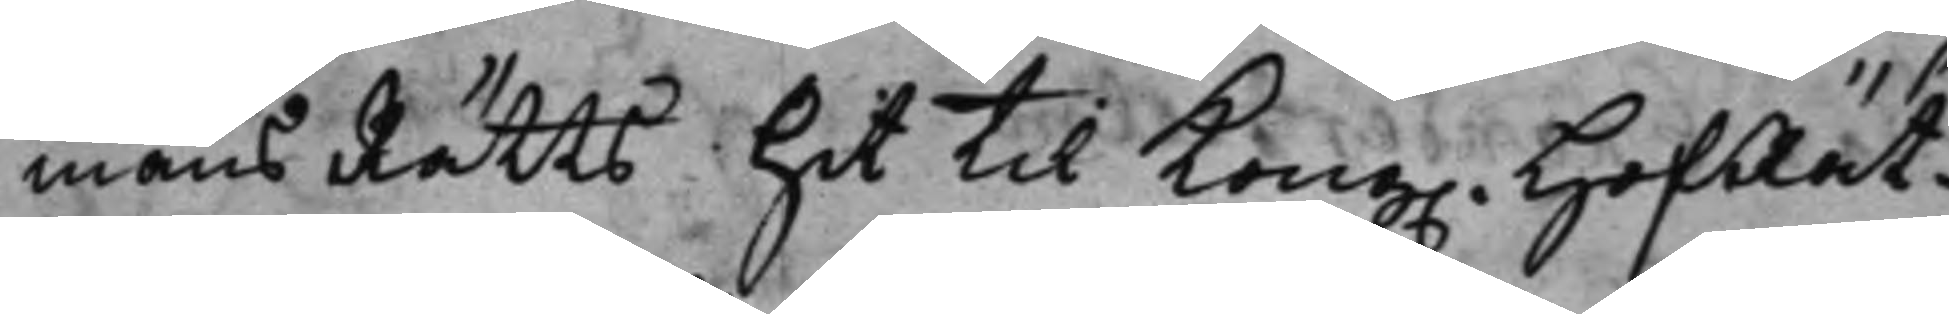mans Rätts hit til Kong. HofRät¬
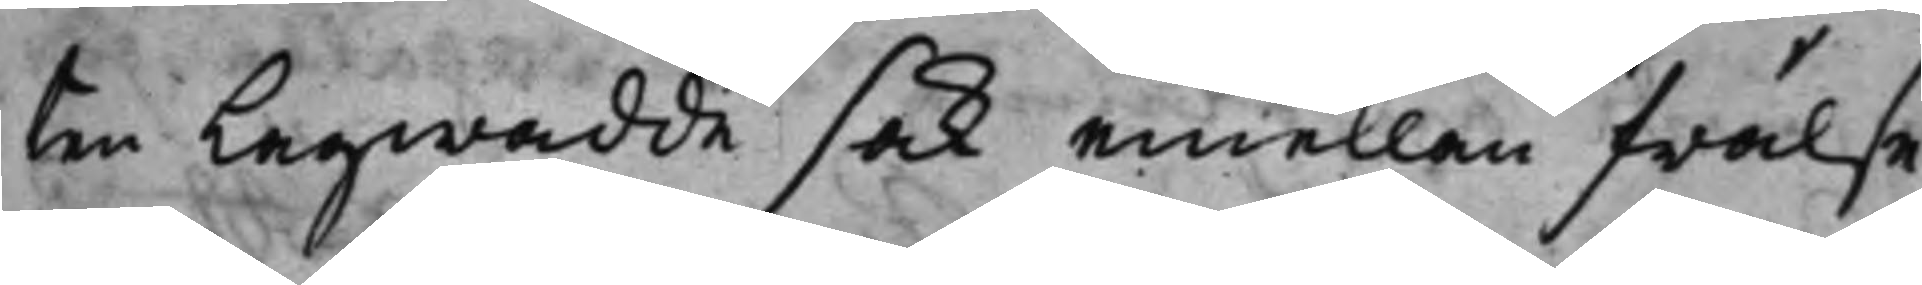ten Lagwadde sak emellan Frälse¬
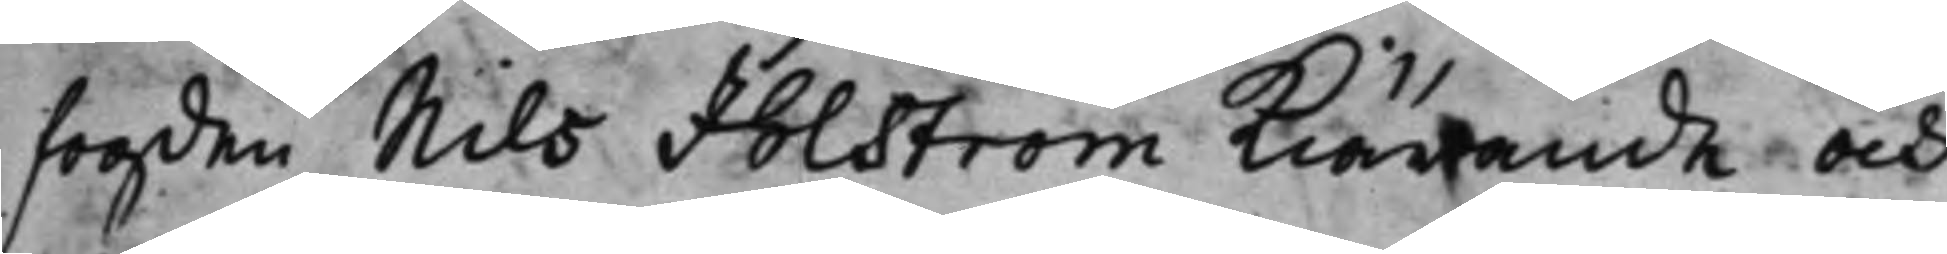fogden Nils Ihlström Kiärande och
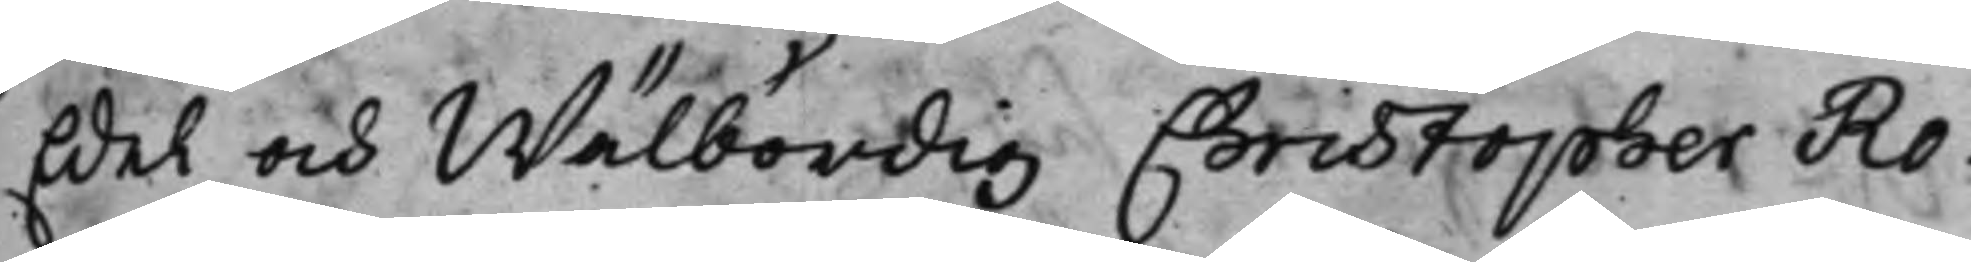Edel och Wälbördig Christopher Ro¬
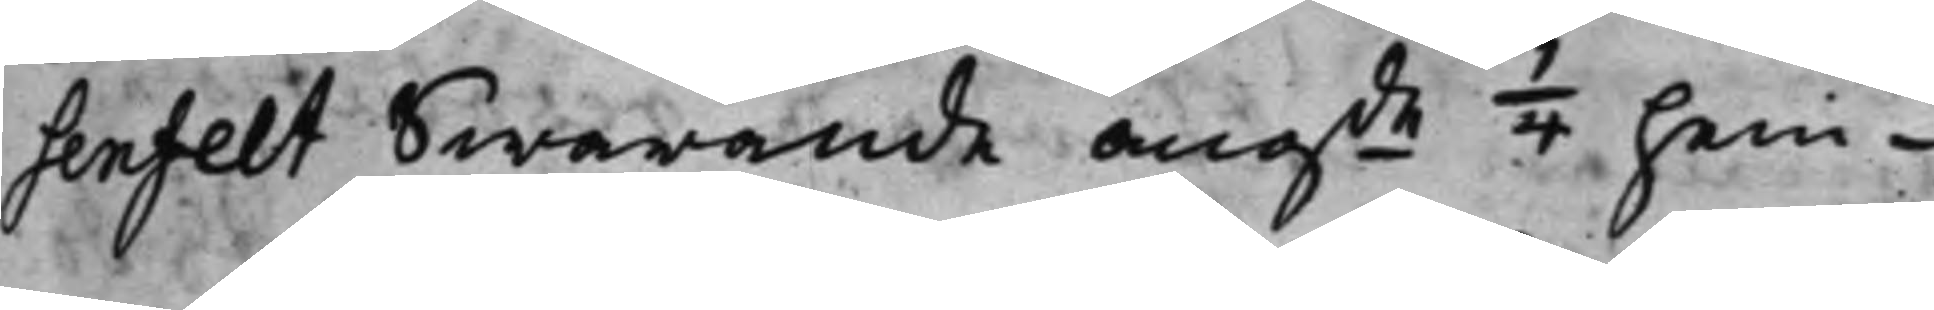senfelt swarande angde 1/4 hem¬
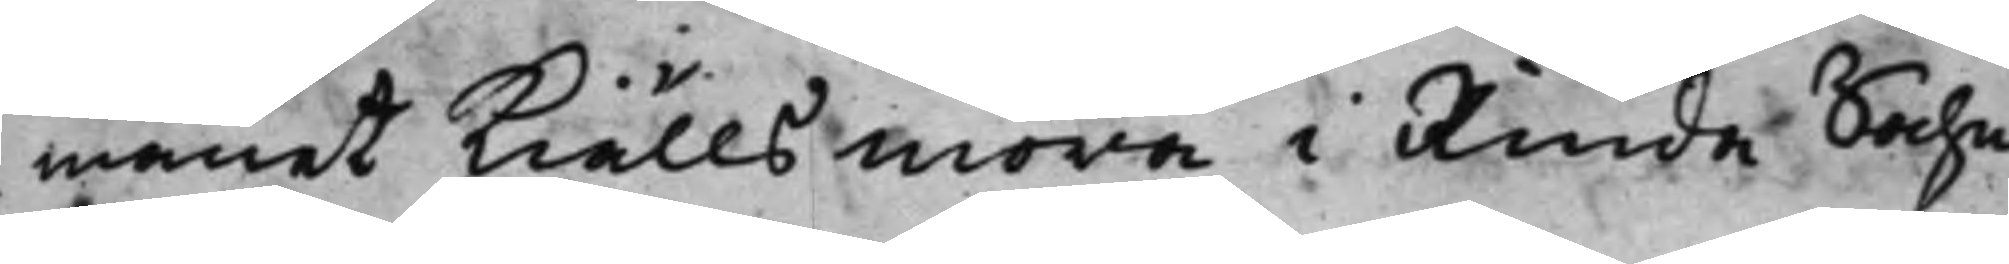manet Kiällsmora i Kinda Sochn
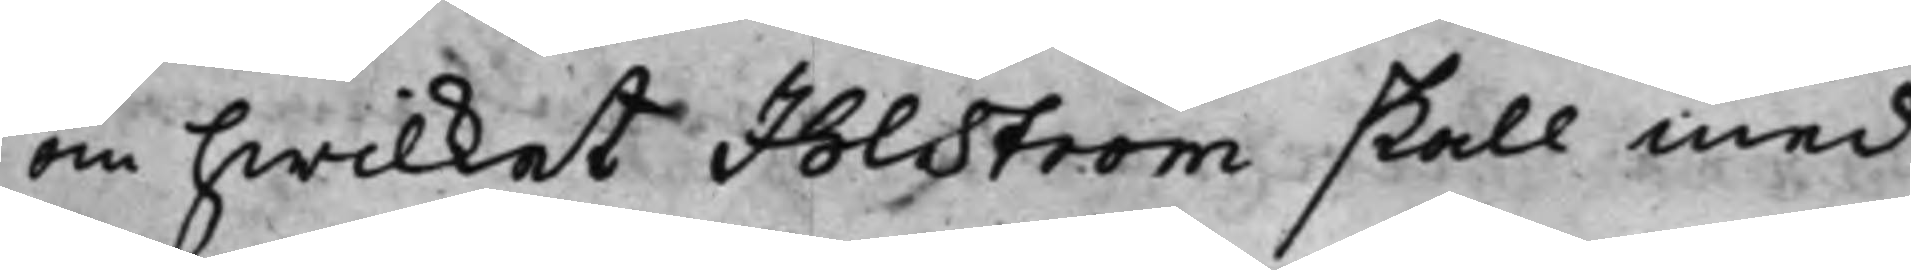om hwilket Ihlström skall med
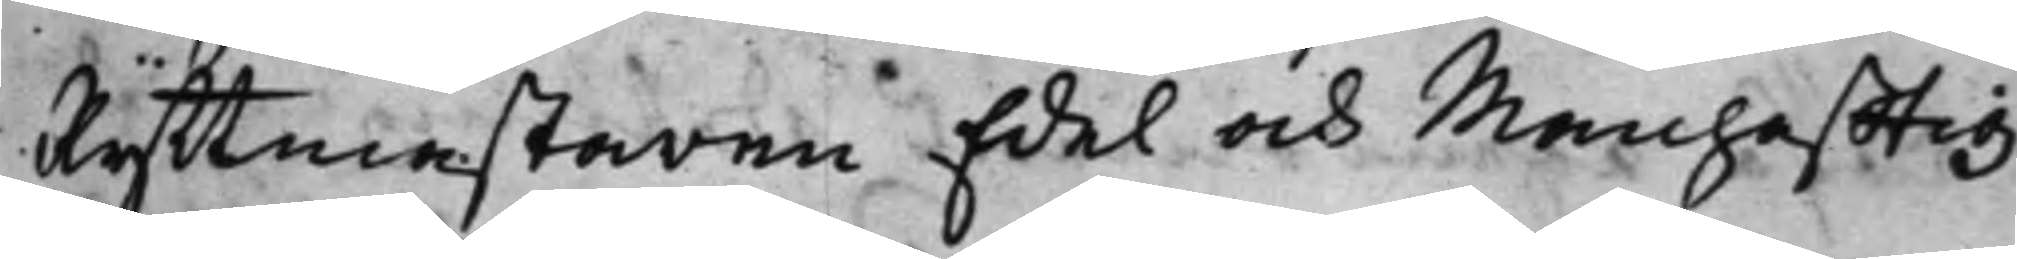Ryttmästaren Edel och Manhafftig
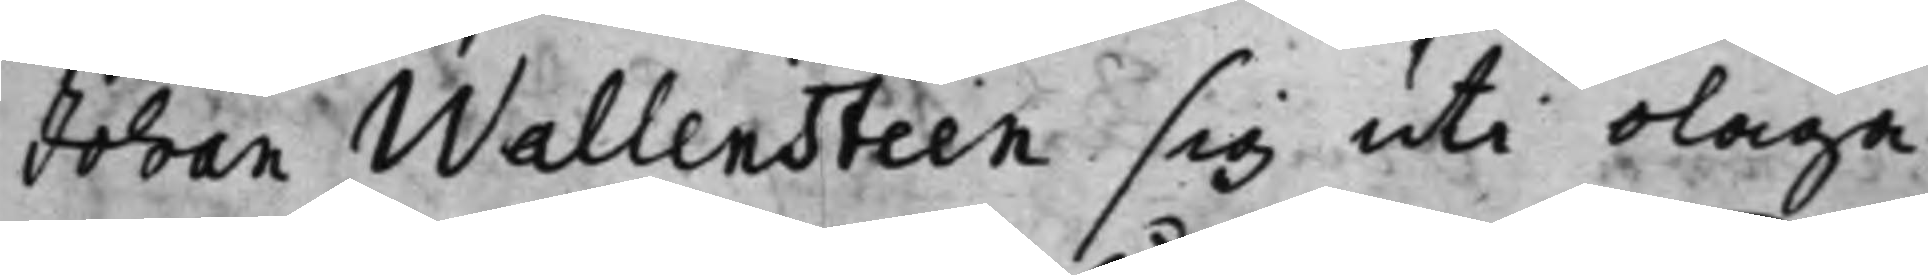Johan Wallensteen sig uti olaga
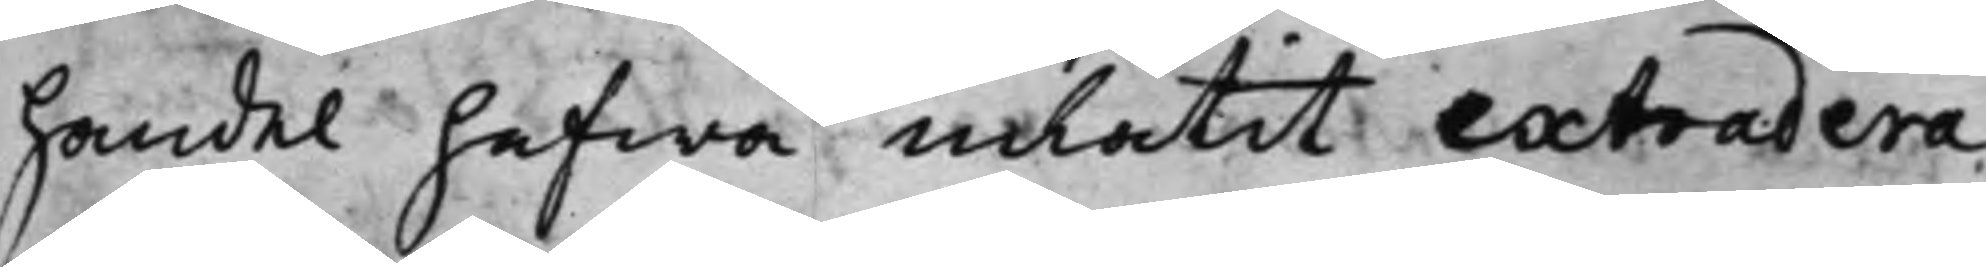handel hafwa inlåtit extradera
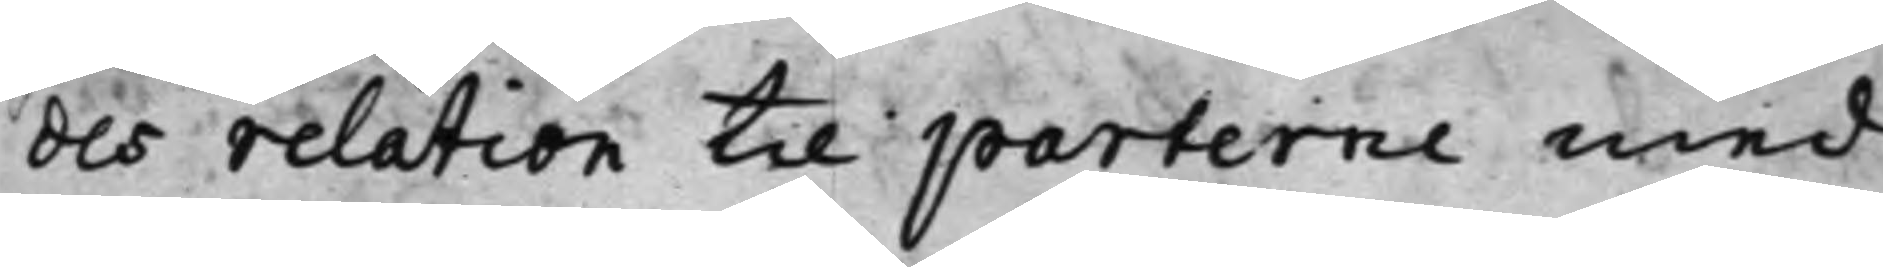des relation till parterne med
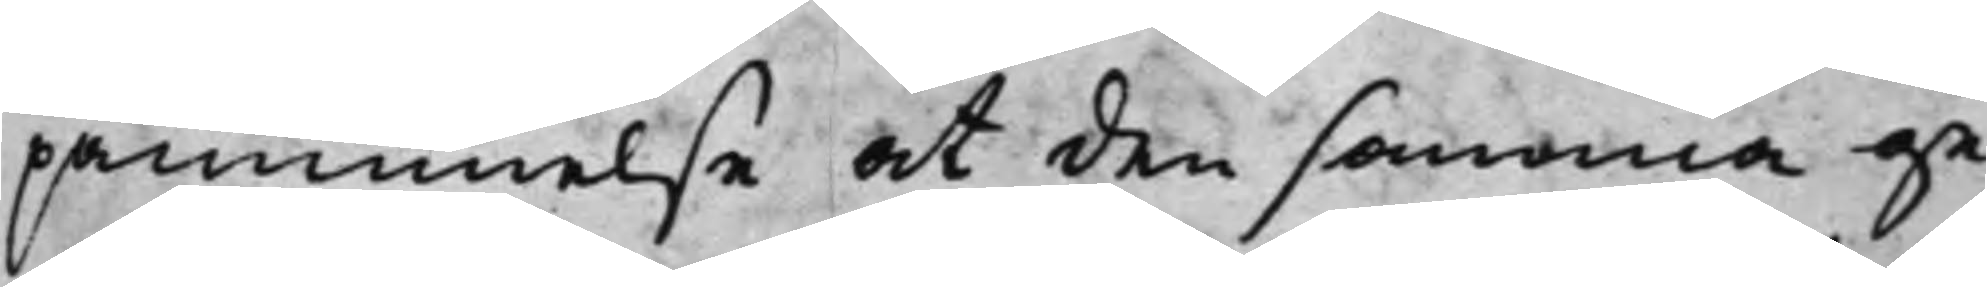påminnelse att den samma ge¬
